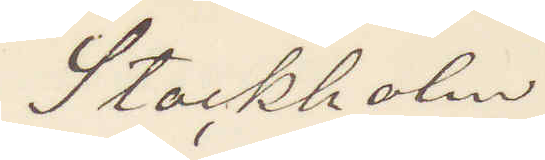Stockholm
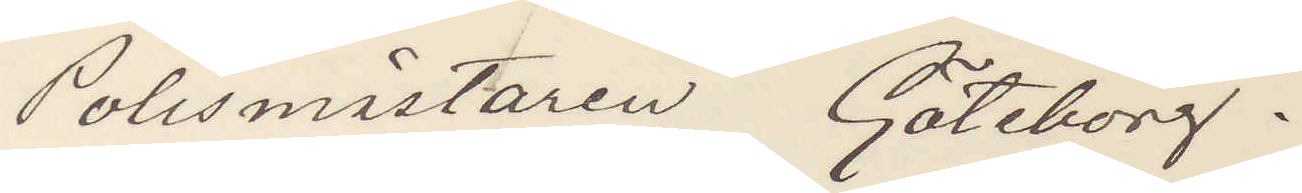Polismästaren Göteborg.
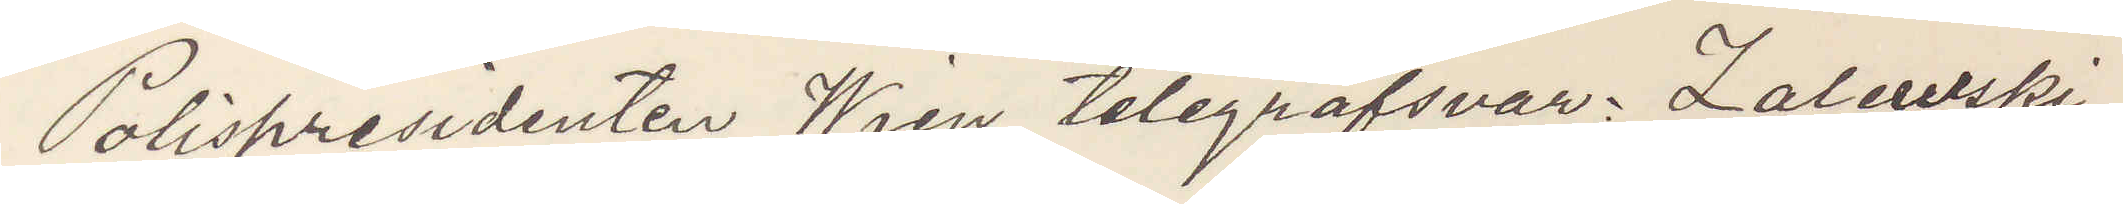Polispresidenten Wien telegrafsvar: Zalewski
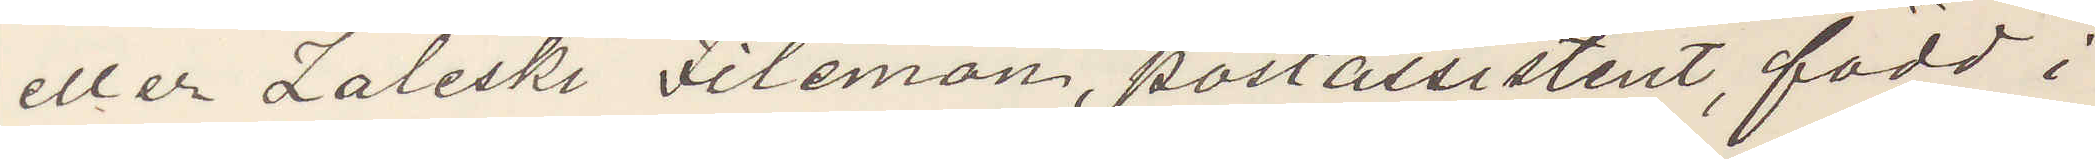eller Zaleski Filemon, postassistent, född i
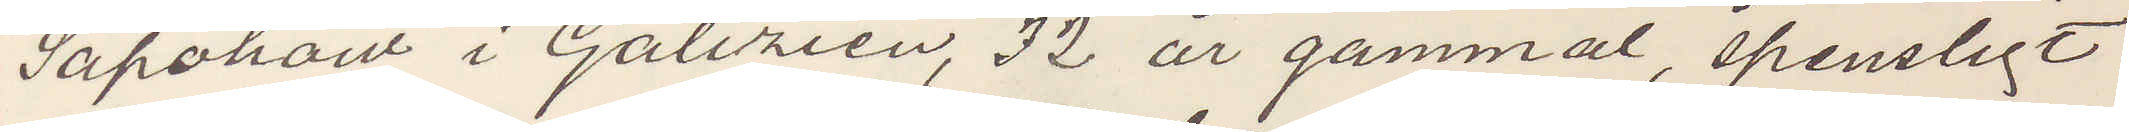Sapoham i Galizien, 32 år gammal, spensligt
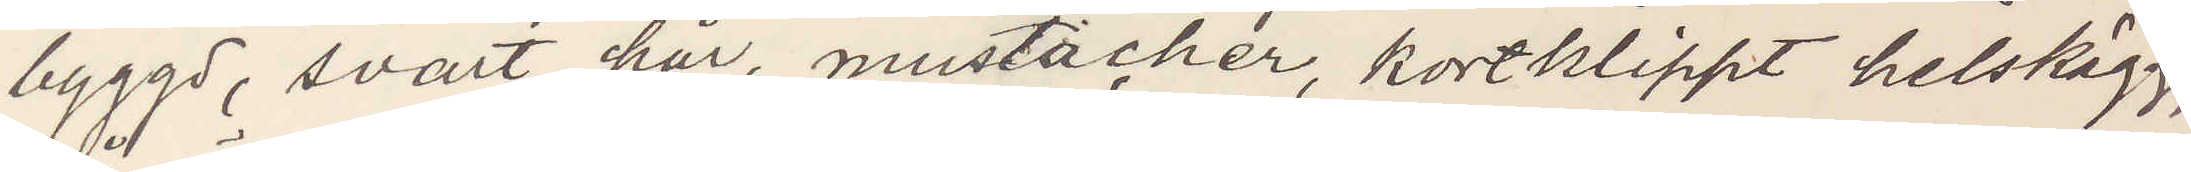byggd, svart hår, mustacher, kortklippt helskägg,
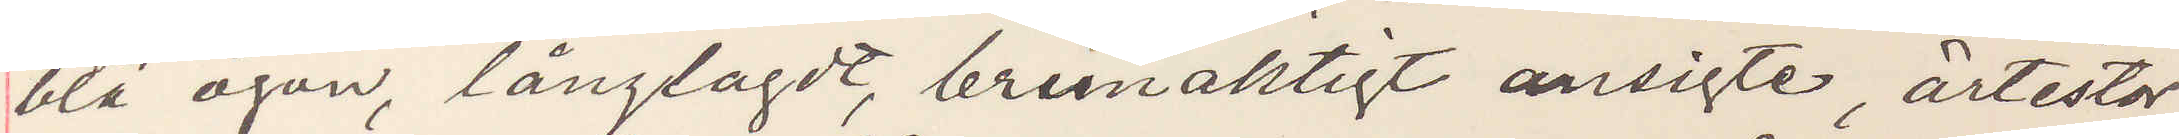blå ögon, långlagdt, brunaktigt ansigte, ärtestor
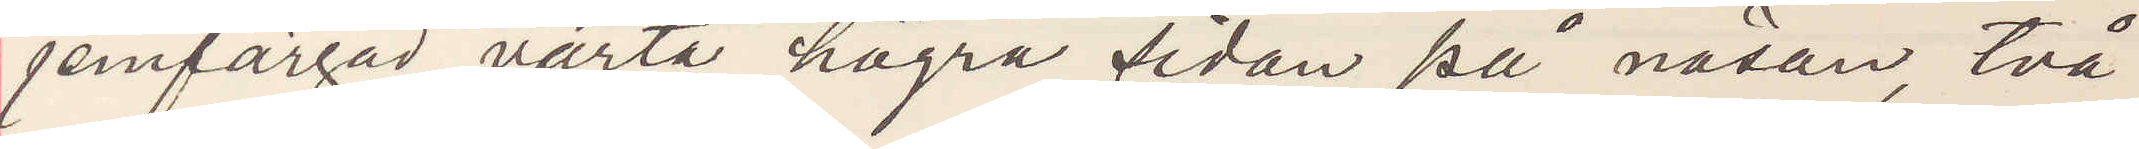jemfärgad vårta högra sidan på näsan, två
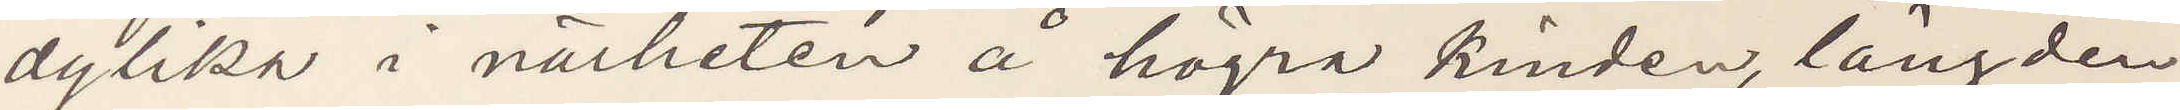dylika i närheten å högra kinden, längden
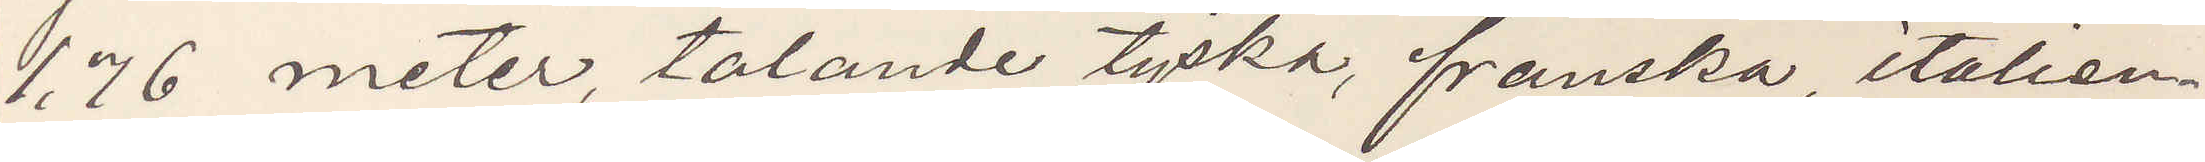1,76 meter, talande tyska, franska, italien¬
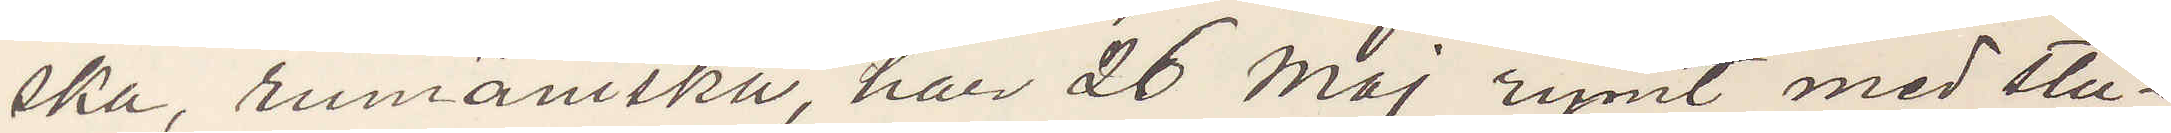ska, rumäniska, har 26 Maj rymt med stu¬
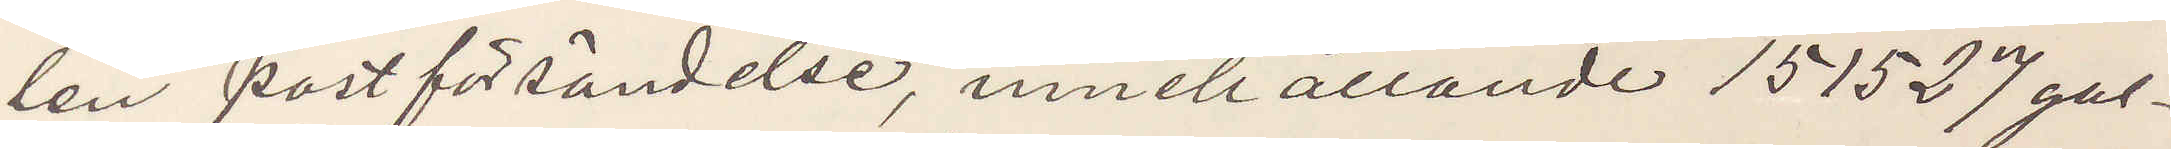len postförsändelse, innehållande 151527 gul¬
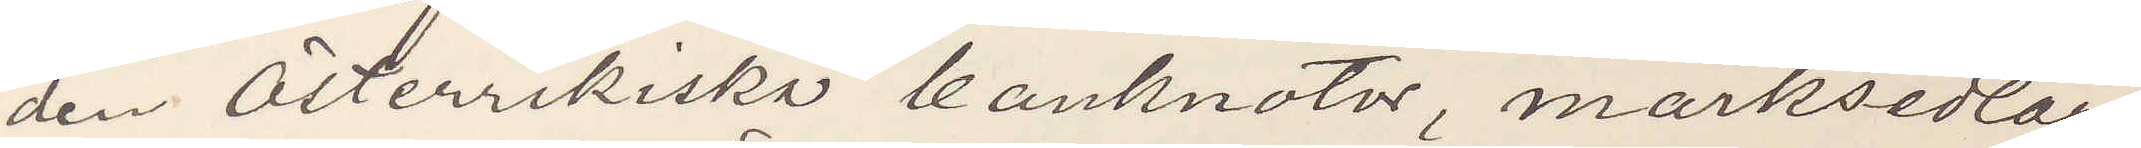den Österrikiska banknotor, marksedlar,
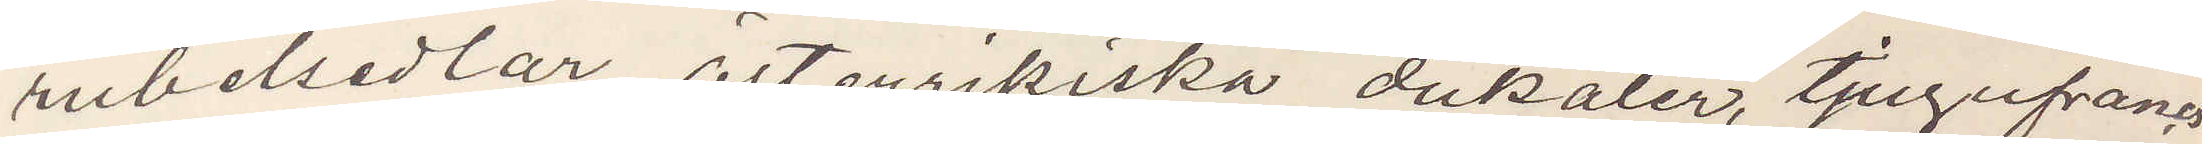rubelsedlar, Österrikiska dukater, tjugufrancs
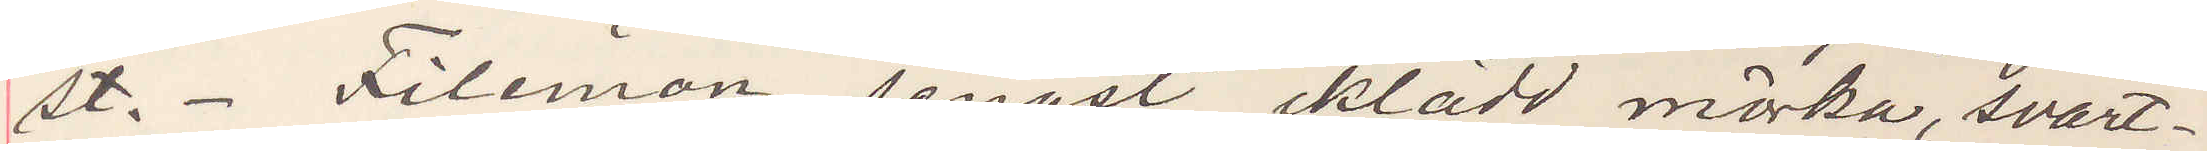st.- Filemon, senast iklädd mörka, svart¬
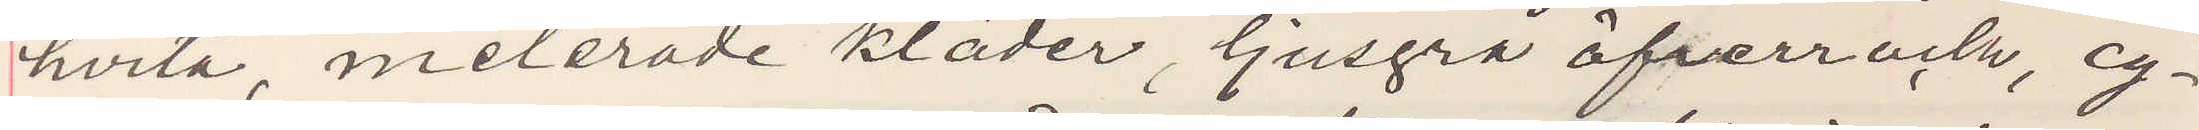hvita melerade kläder, ljusgrå öfverrock, cy¬
